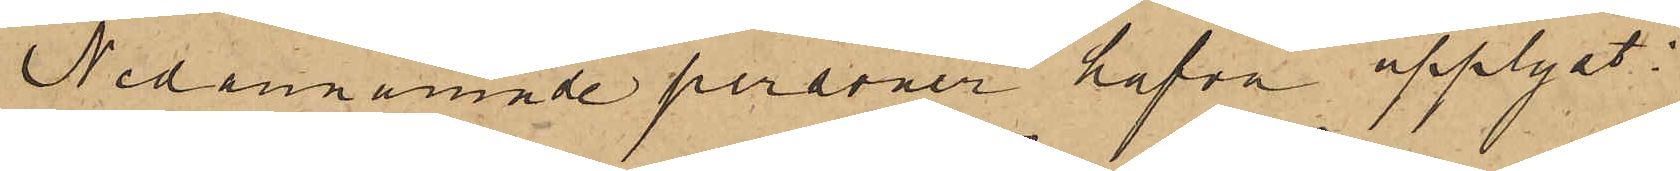Nedannämnde personer hafva upplyst:
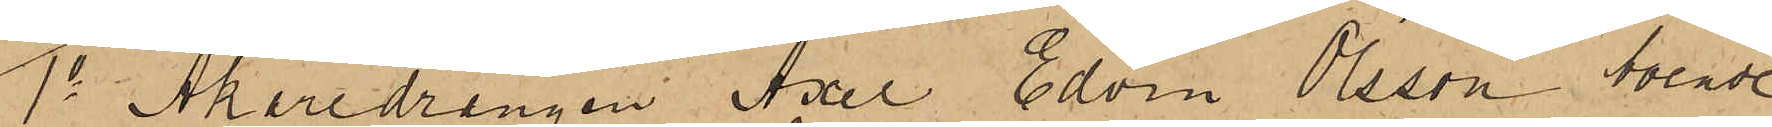1o Åkaredrängen Axel Edvin Olsson boende
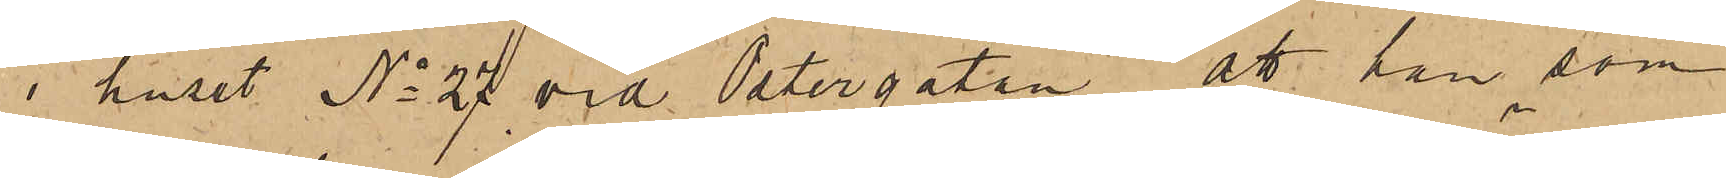i huset No 27 vid Östergatan, att han som
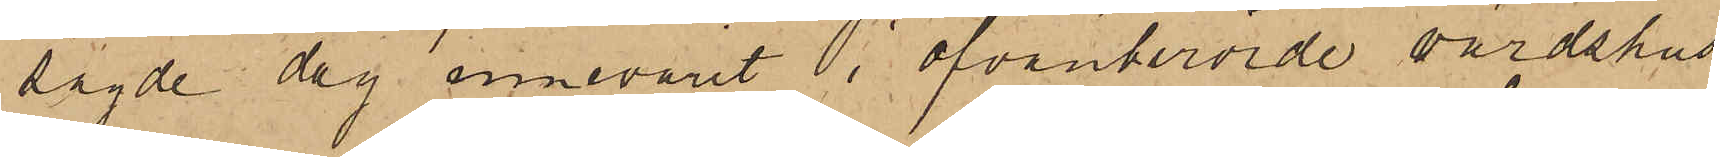sagde dag innevarit i ofvanberörde värdshus¬
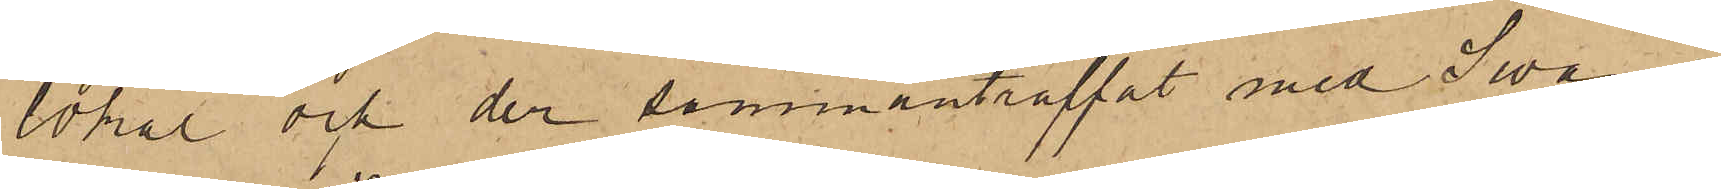lokal och der sammanträffat med Swan,
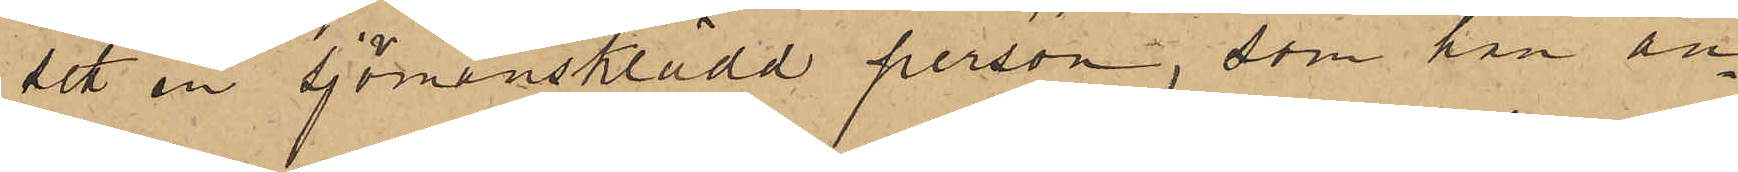sett en sjömansklädd person, som han an¬
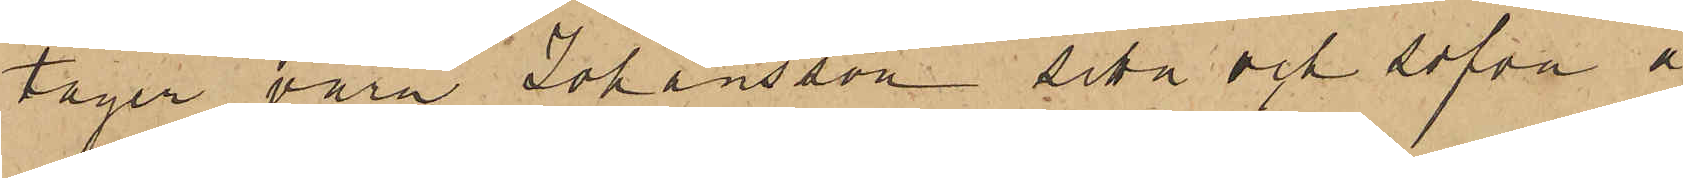tager vara Johansson sitta och sofva å
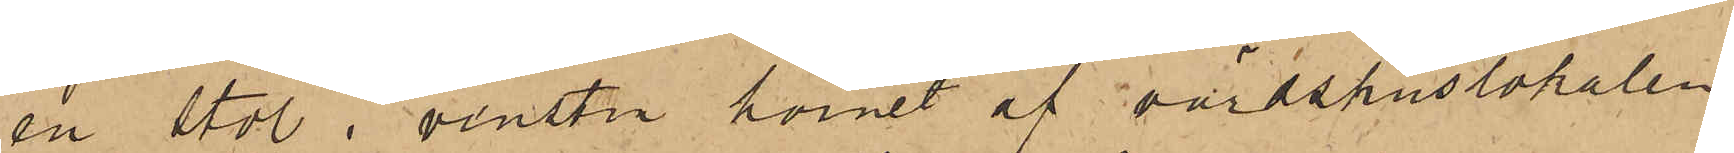en stol i venstra hörnet af värdshuslokalen,
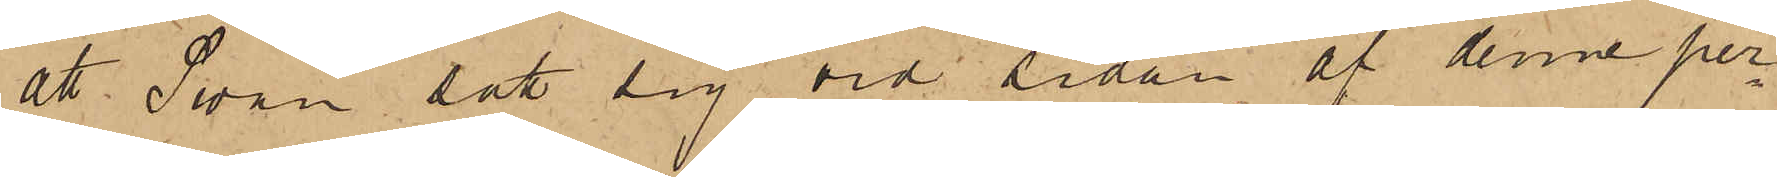att Swan satt sig vid sidan af denne per¬
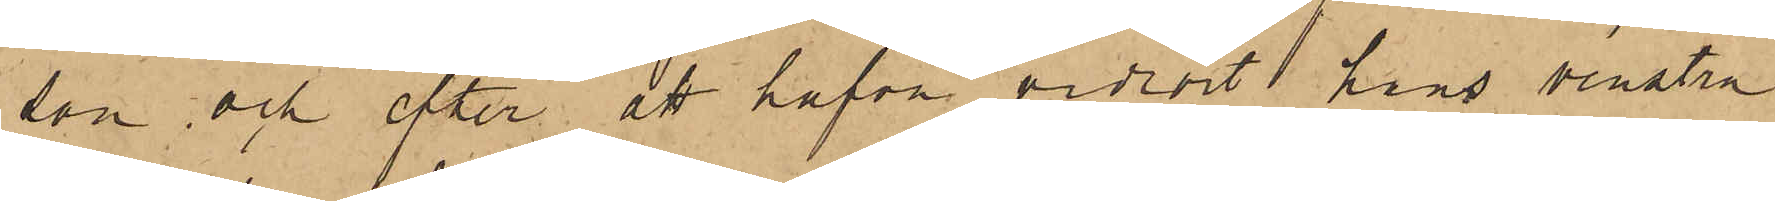son och efter att hafva vidrört hans venstra
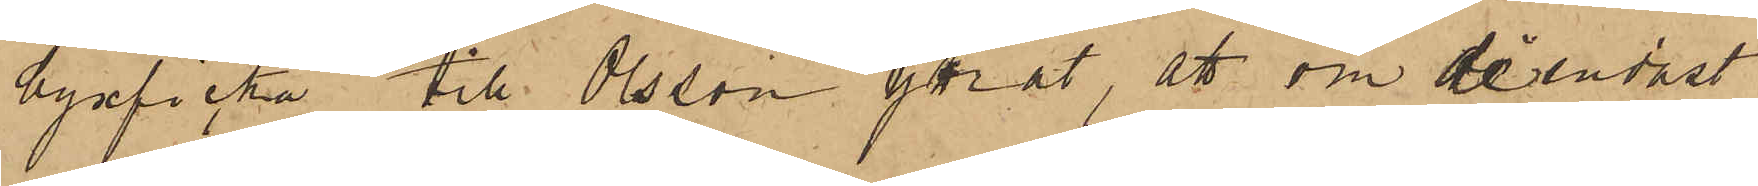byxficka till Olsson yttrat, att om de endast
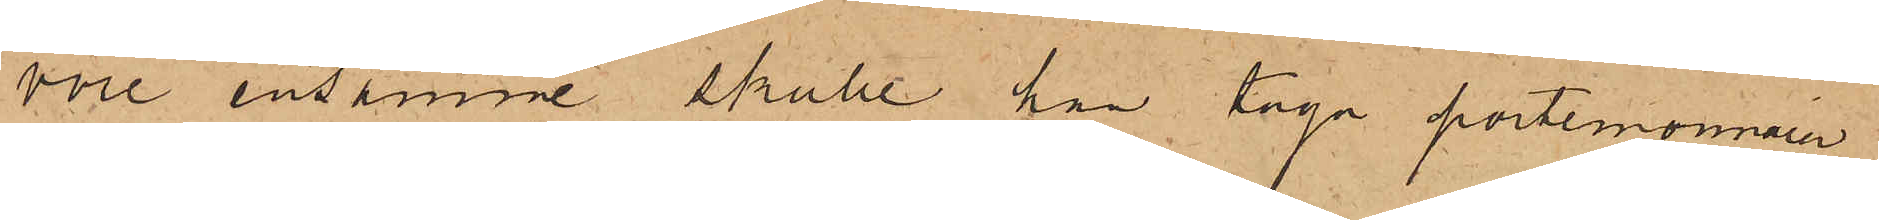vore ensamme skulle han taga portemonnain,
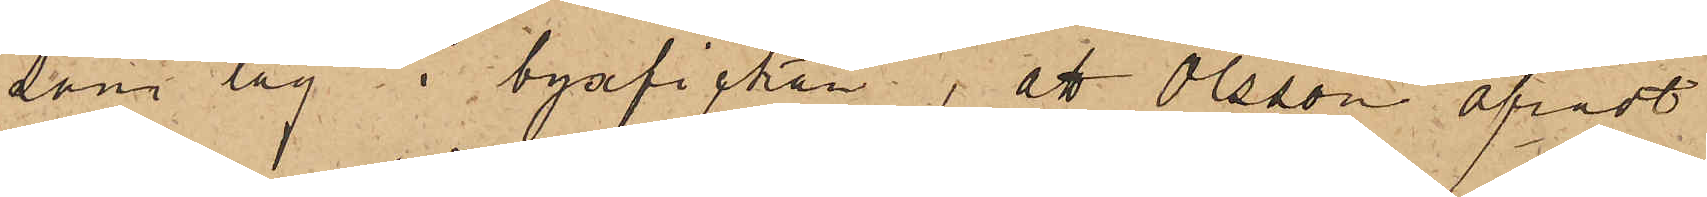som låg i byxfickan; att Olsson afrådt
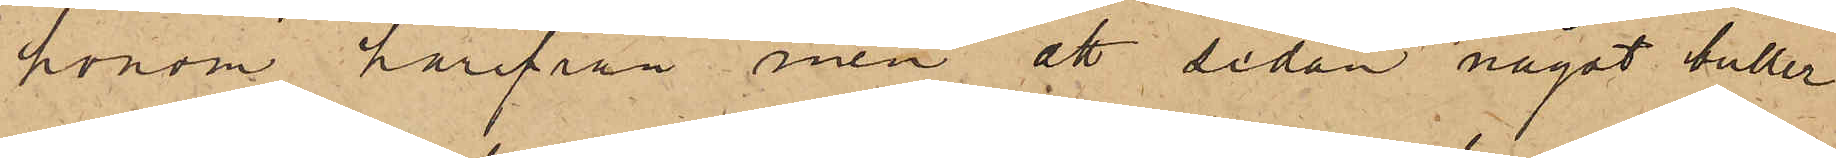honom härifrån men att sedan något buller
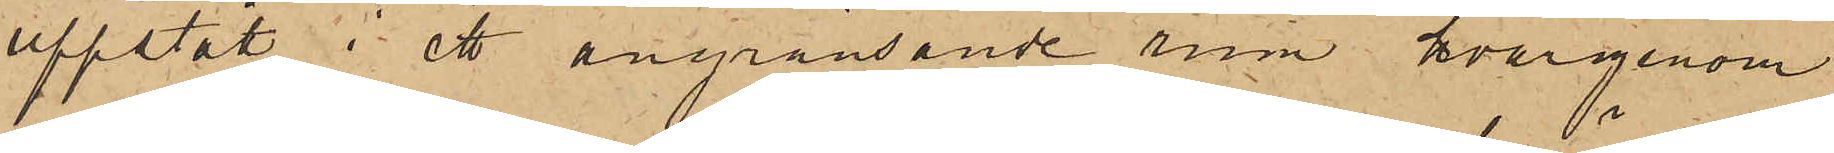uppstått i ett angränsande rum hvargenom
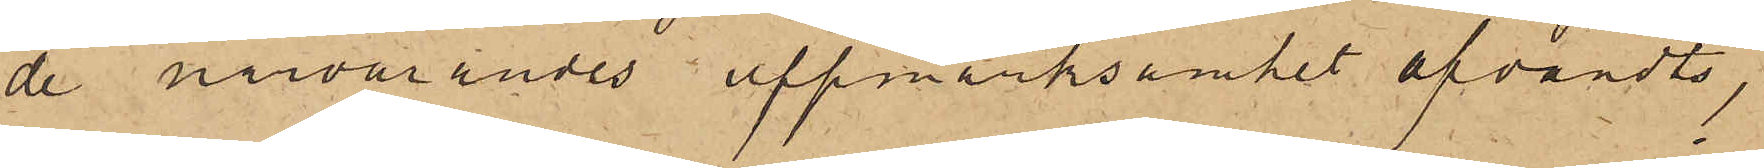de närvarandes uppmärksamhet afvändts,
